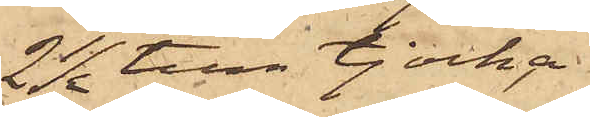2½ tum tjocka
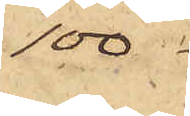100
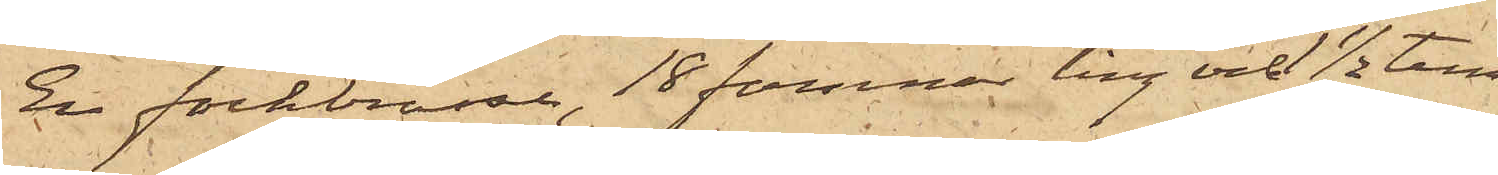En fockbrasse, 18 famnar lång och ½ tum
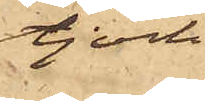tjock
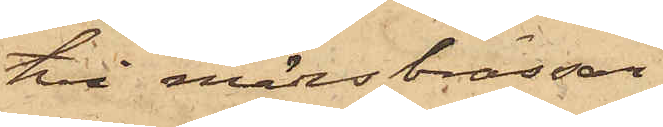två märsbrassar
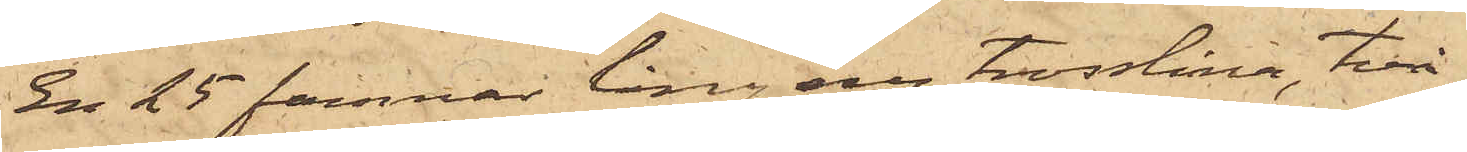En 25 famnar lång ny trosslina, två
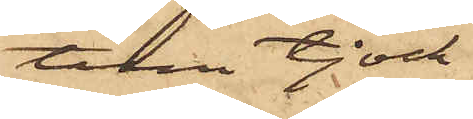tum tjock
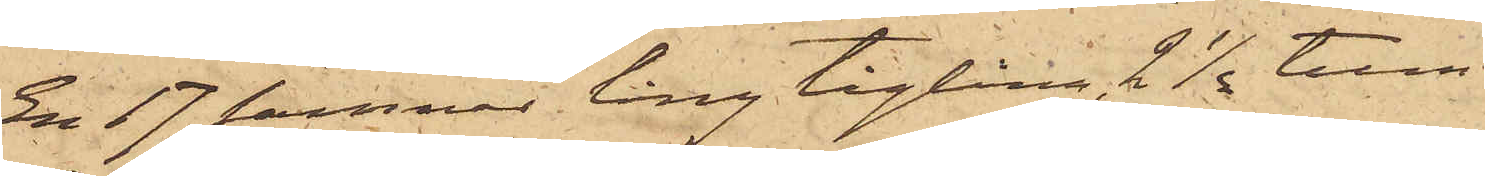En 17 famnar lång tåglina 2½ tum
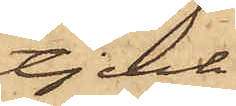tjock
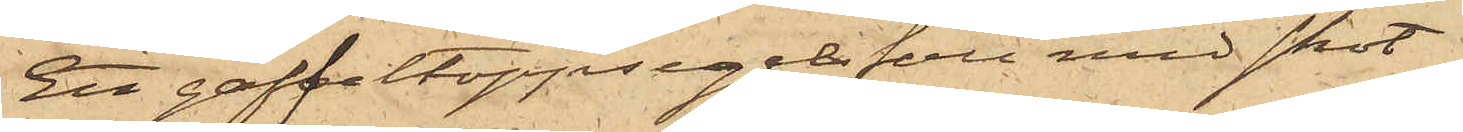Ett gaffeltoppsegelfall med skot
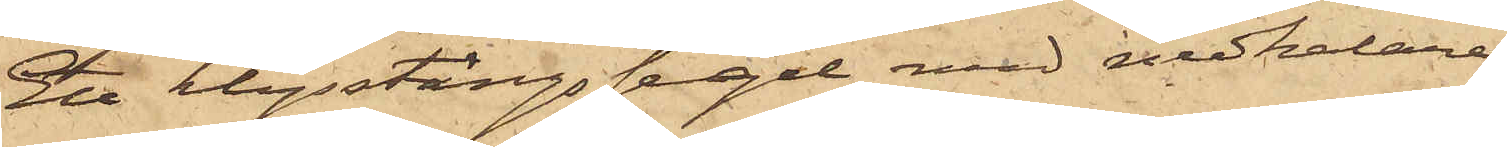Ett krysstängssegel med nedhalare
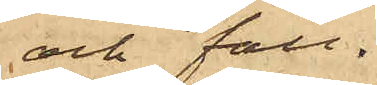och fall
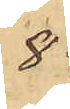8
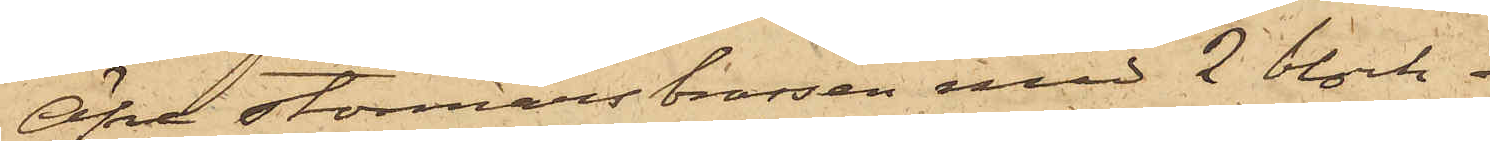Öfre stormärsbrassen med 2 block 
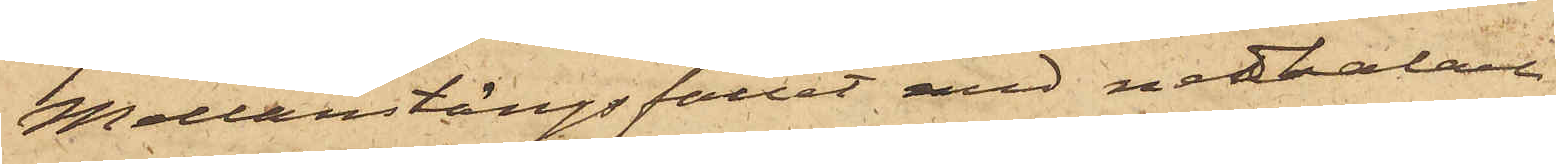Mellanstängsfallet med nedhalare
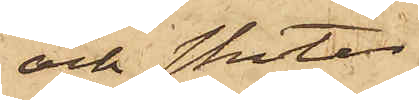och skot
